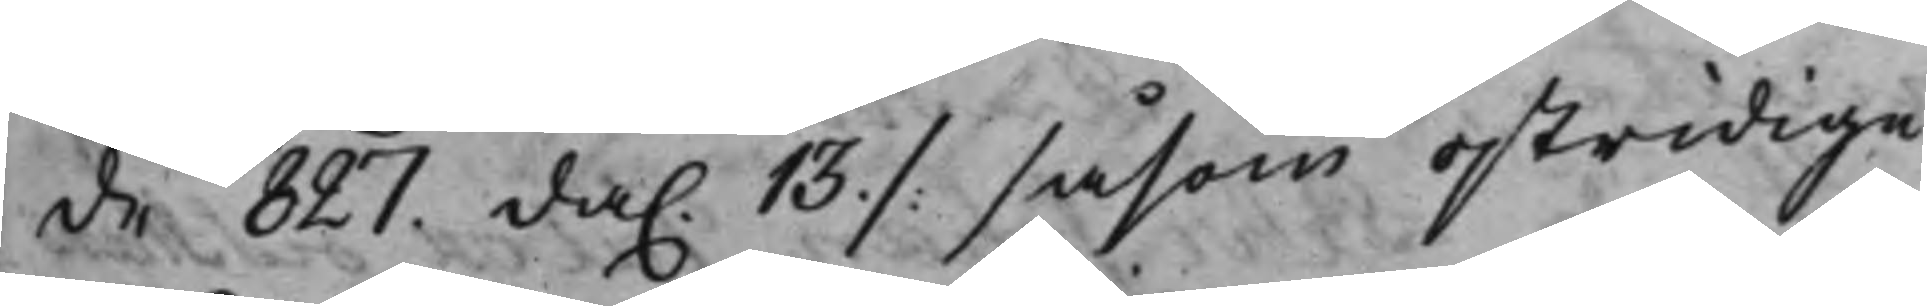de 827. da. 13 ./. såsom ostridige
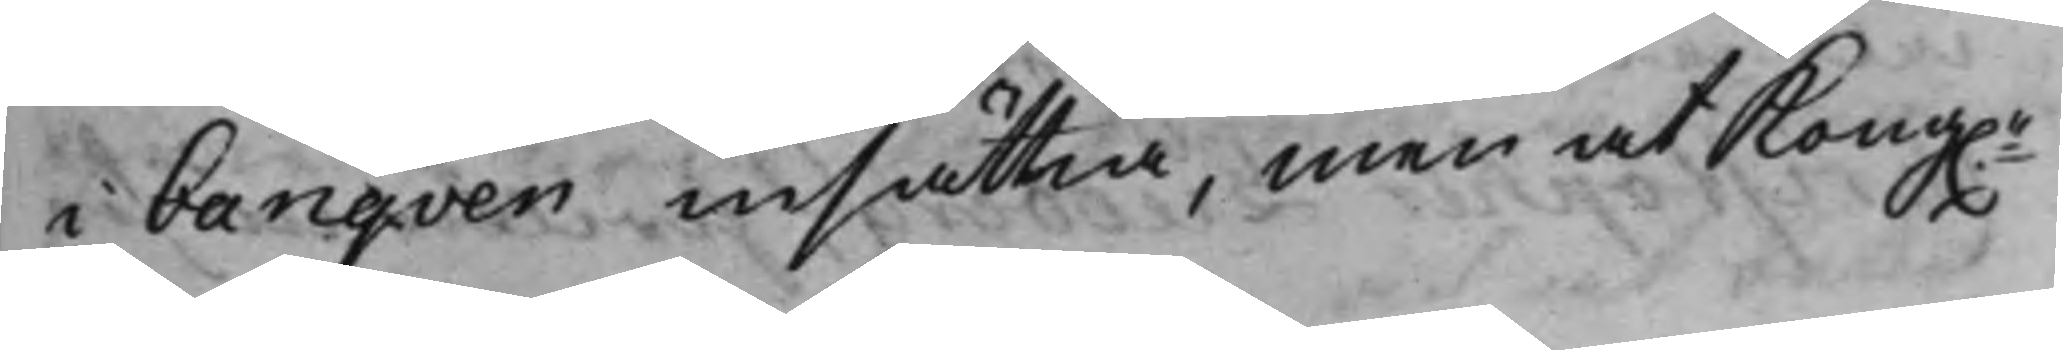i Banqven insättia, men at Kong.e
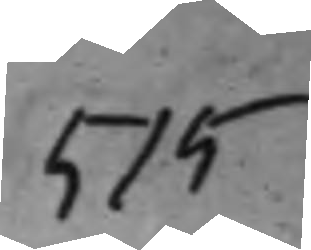515
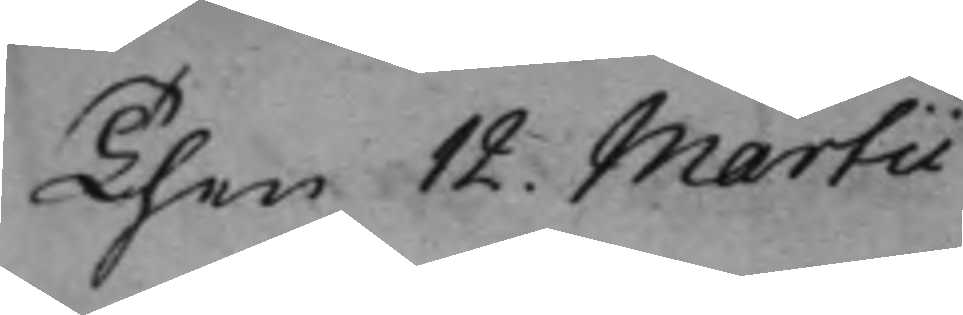Then 12. Martii
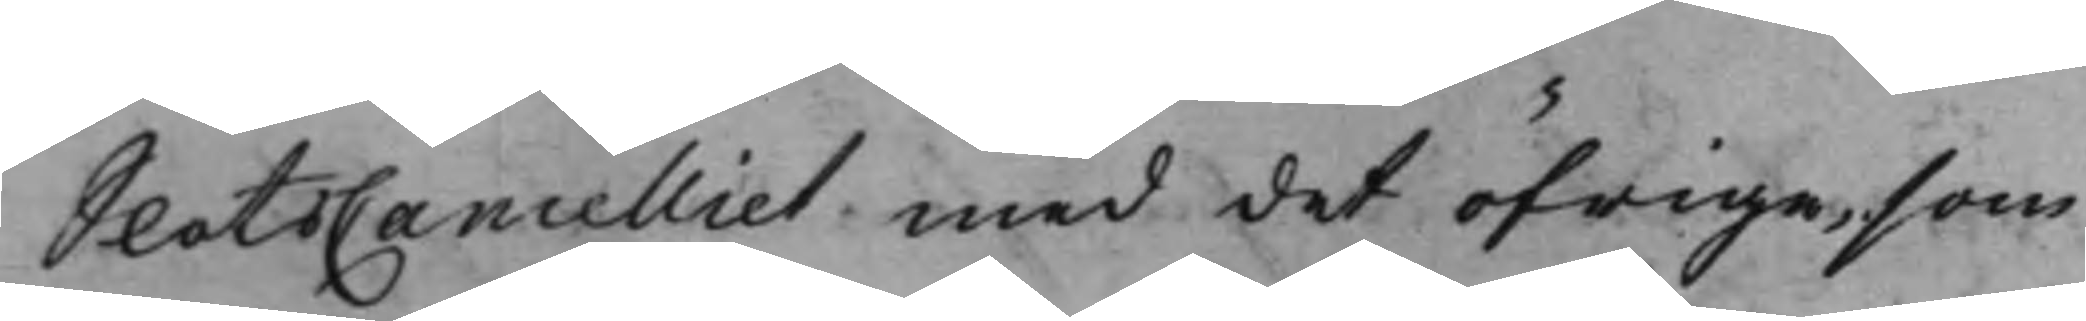SlotsCancelliet med det öfrige, som
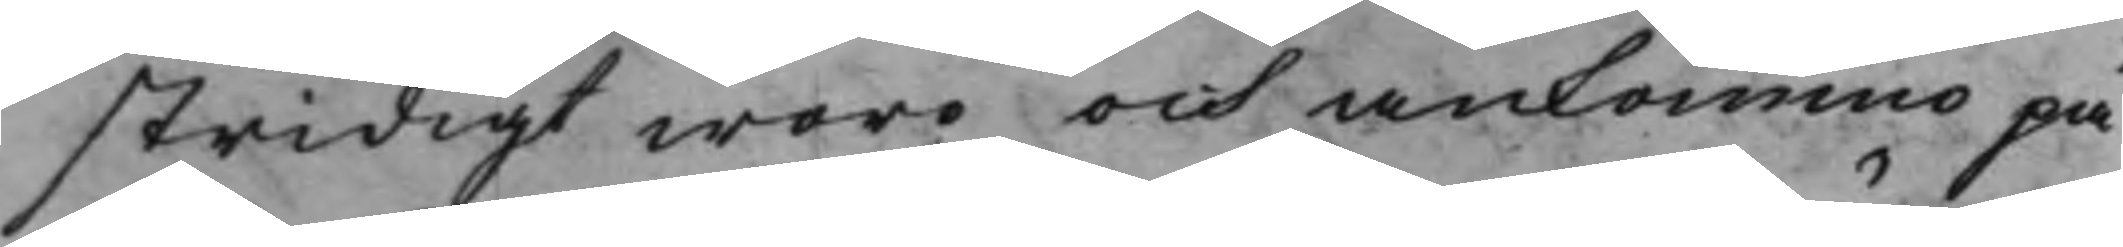stridigt woro och ankommo på
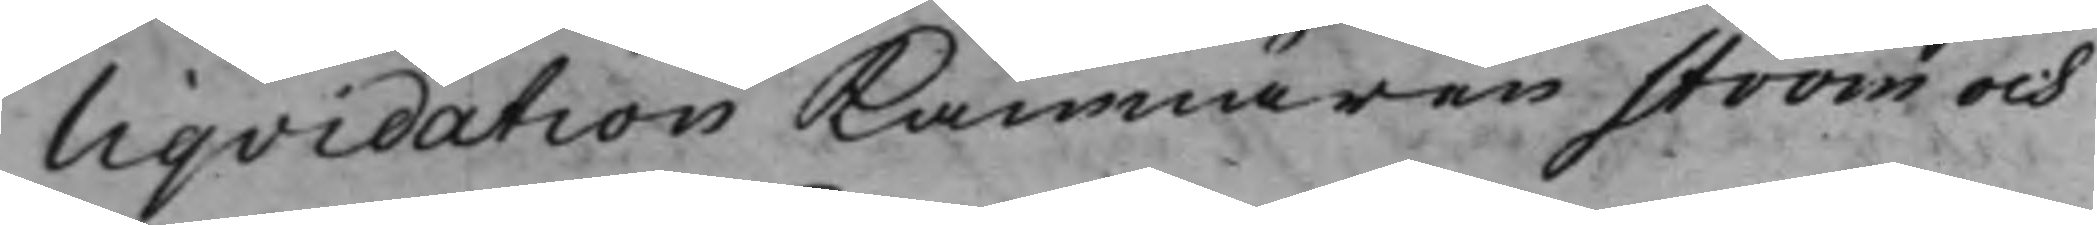Liqvidation Kämnären Ström och
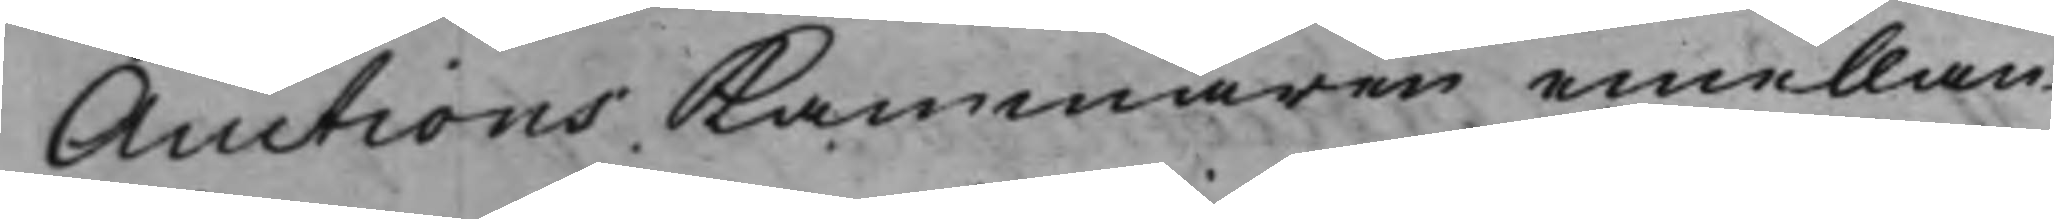Auctions Kammaren emellan
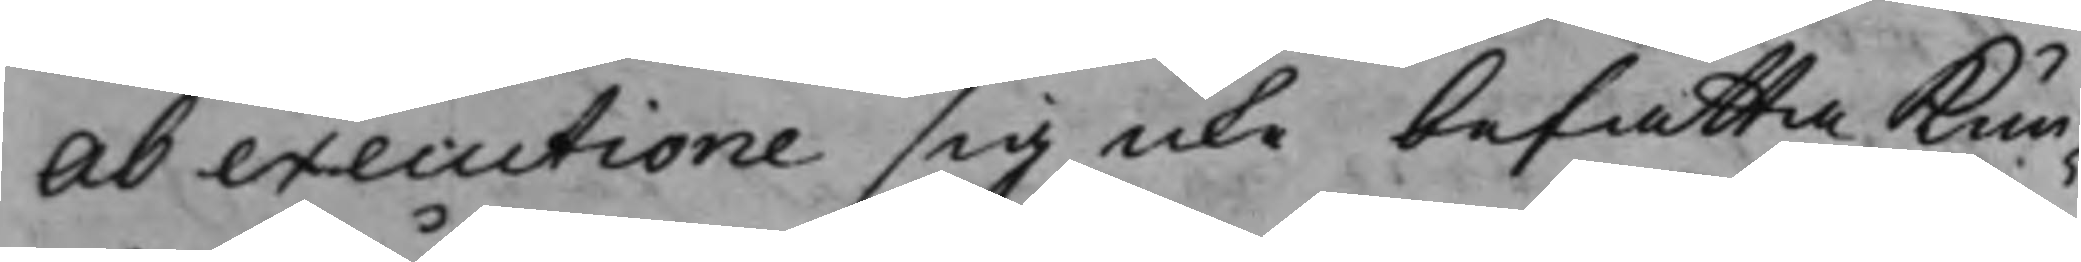ab executione sig icke befatta Kun¬
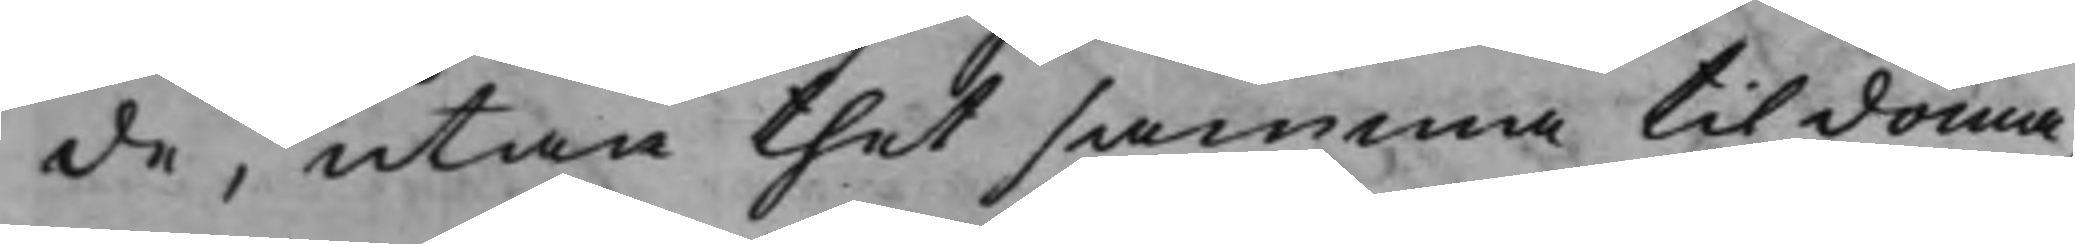de, utan thet samma til doma¬
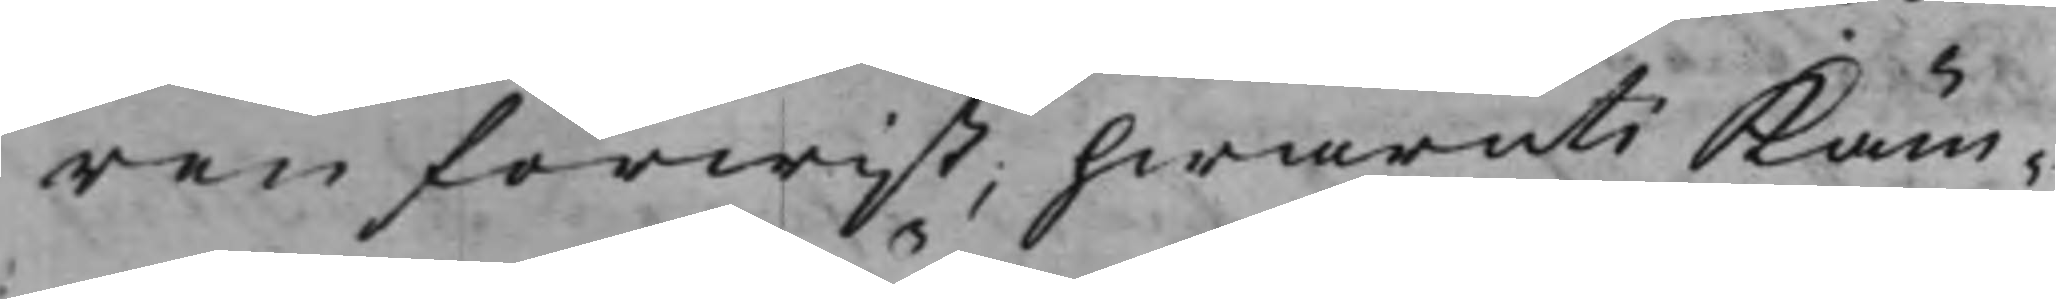ren förwist, hwaruti Käm¬
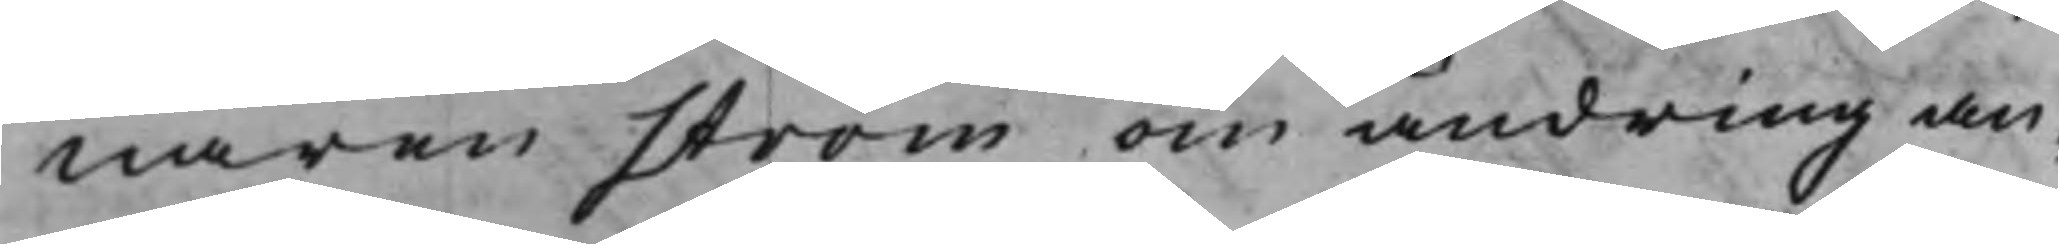naren Ström om ändring an¬
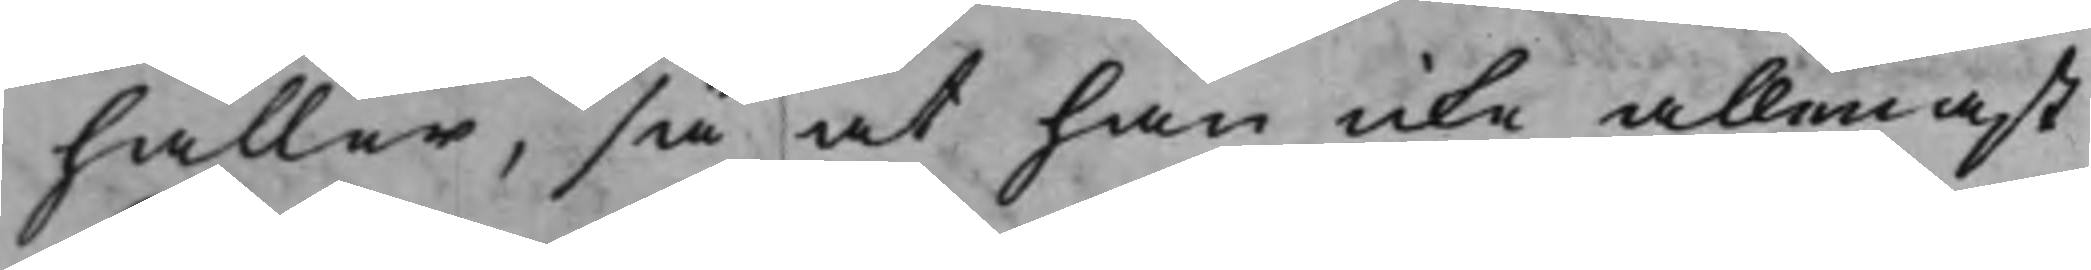håller, så at han icke allenast
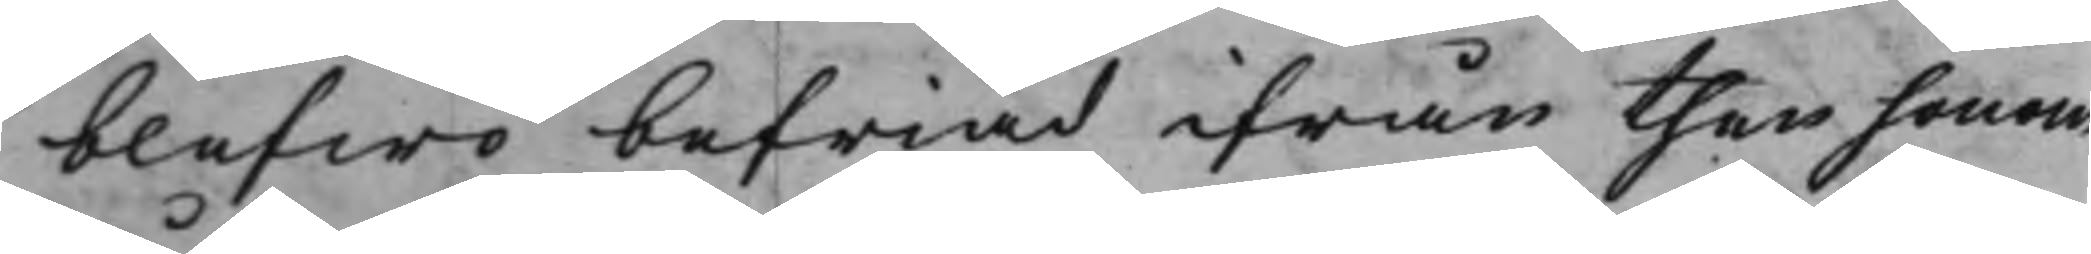blefwo befriad ifrån then honom
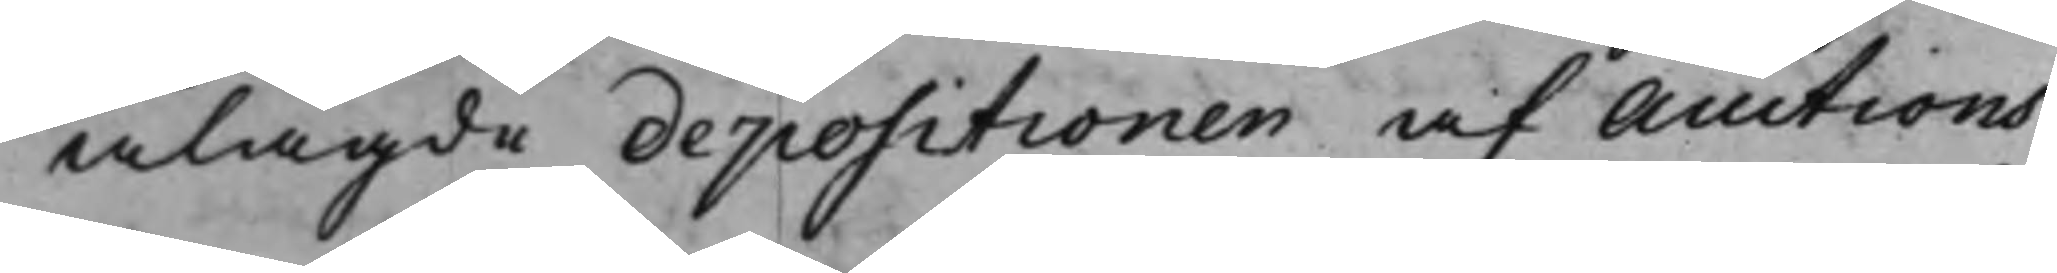ålagde depositionen af Auctions¬
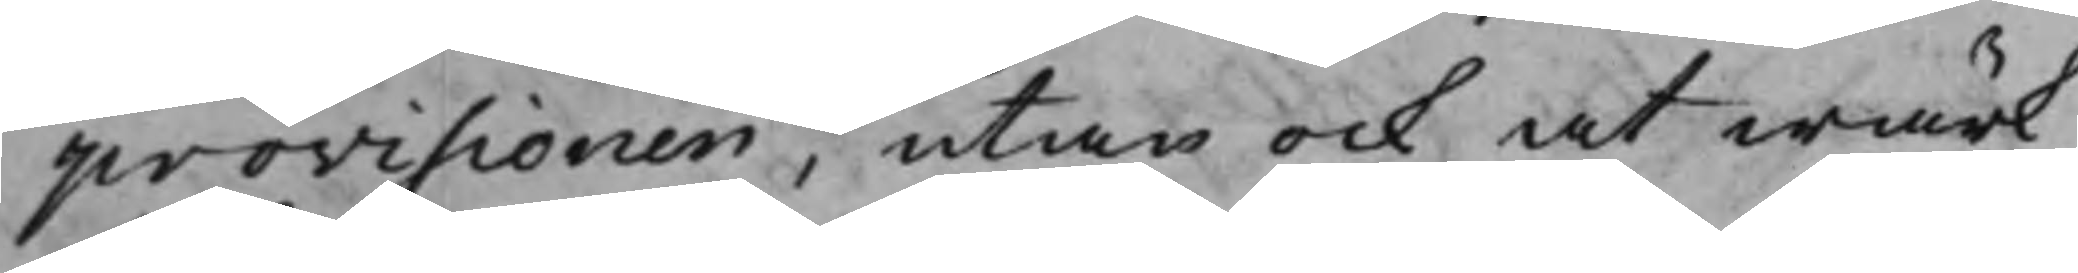provisionen, utan ock at wärk¬
